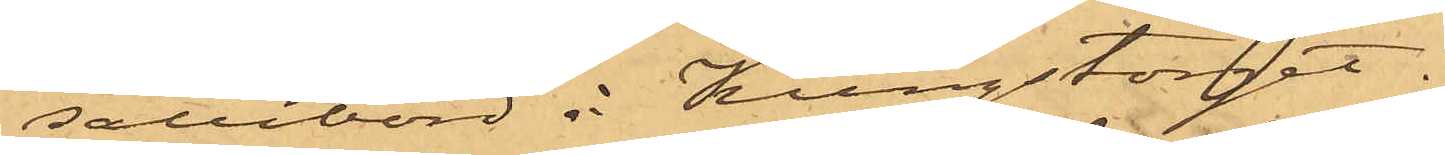salubord å Kungstorget.
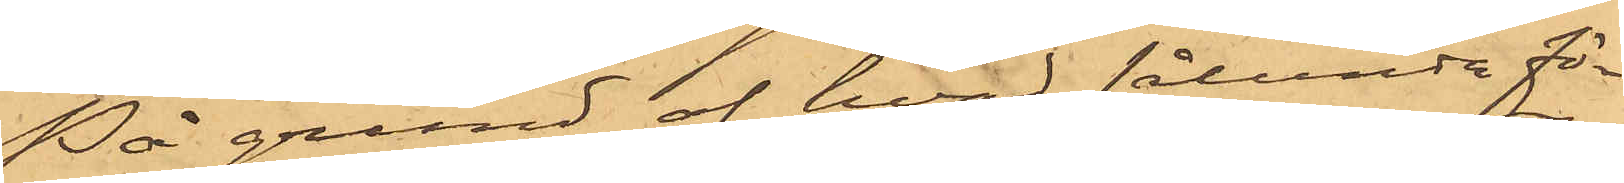På grund af hvad sålunda fö¬
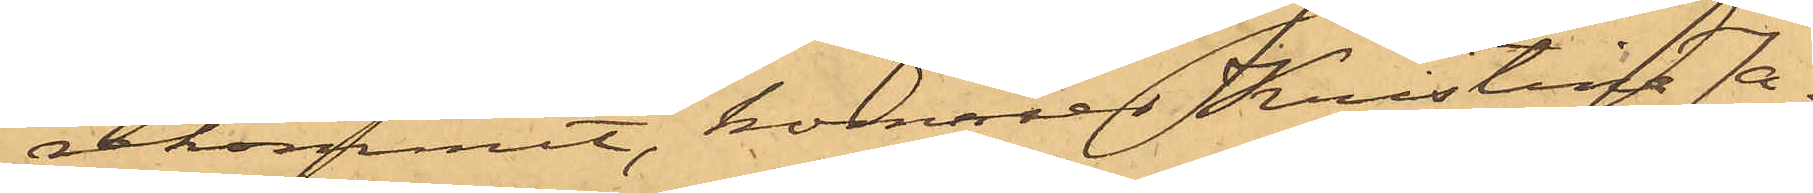rekommit, kommer Kristina Ja¬
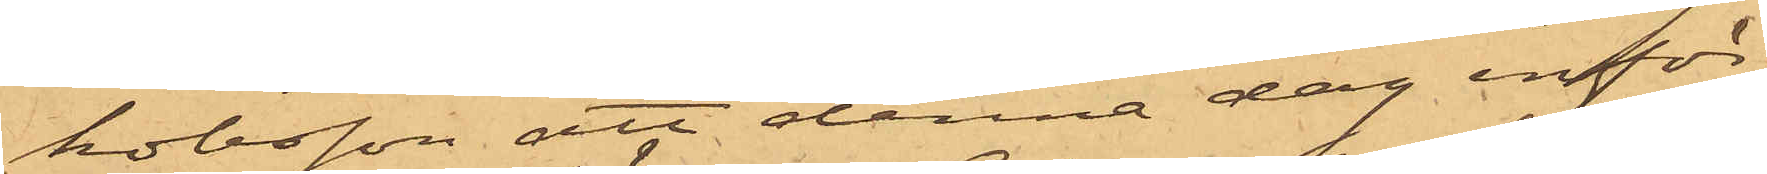kobsson att denna dag inför
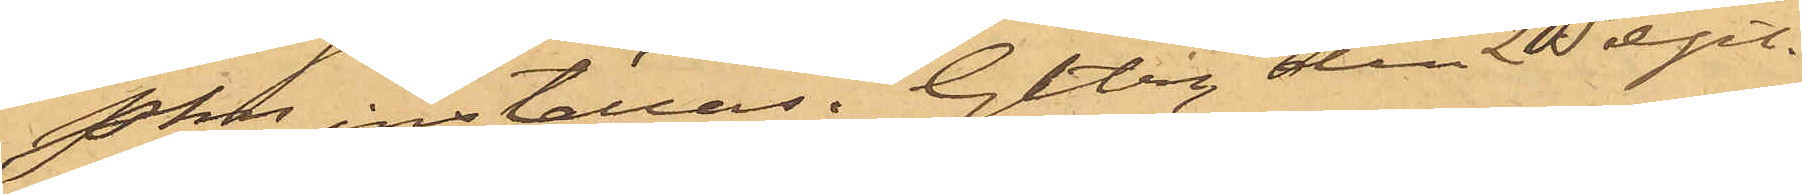Pkn inställas. Gtbg den 2 Sept.
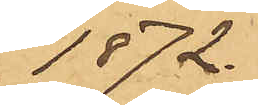1872.
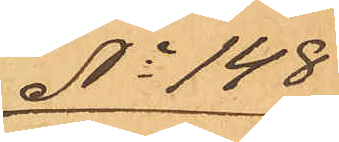No 148
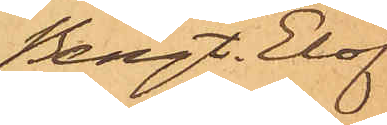Bengt. Elof
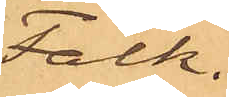Falk.
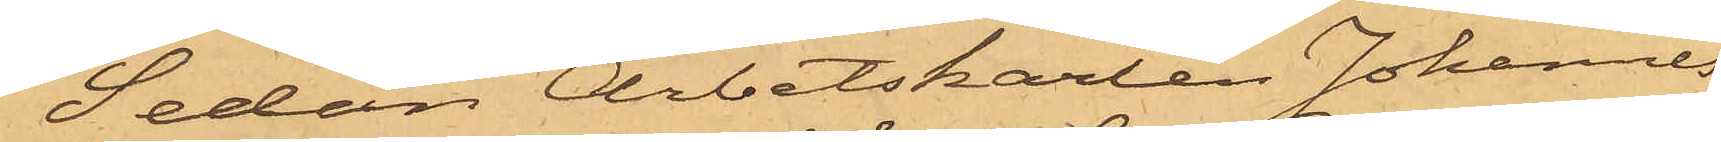Sedan Arbetskarlen Johannes
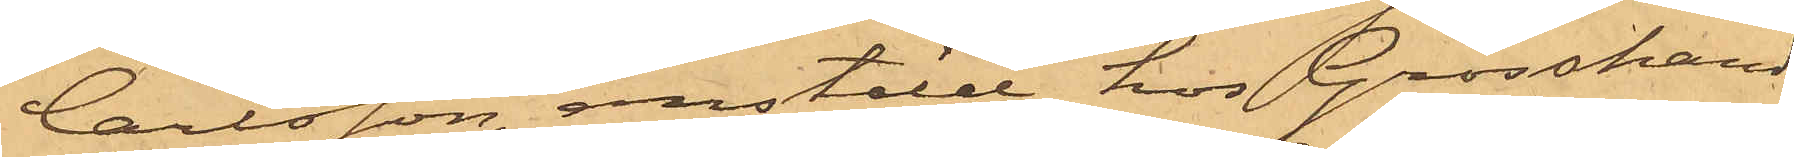Carlsson, anstäld hos Grosshand¬
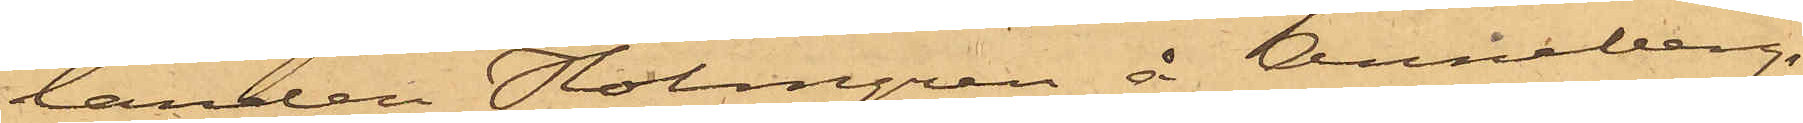landen Holmgren å Anneberg,
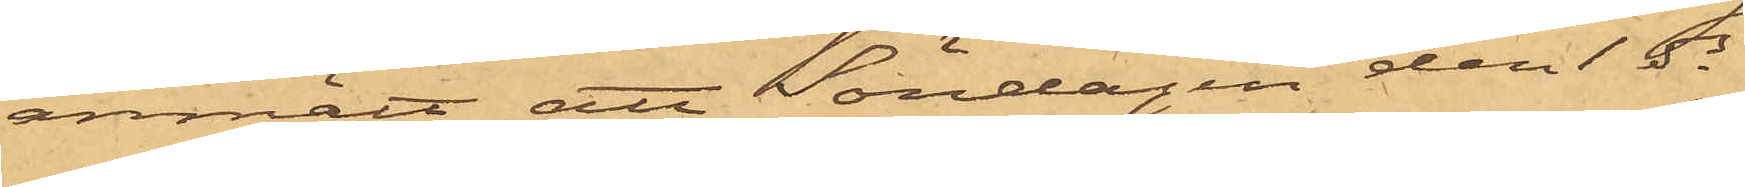anmält att Söndagen den 1 ds
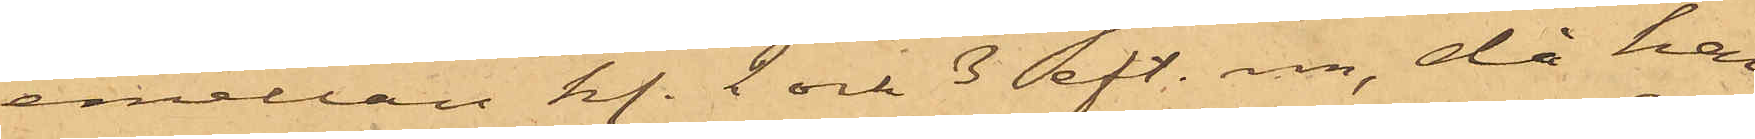emellan kl. 2 och 3 eft. m., då han
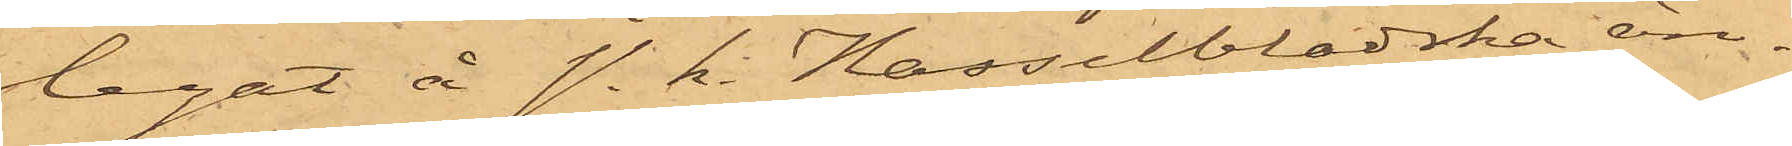legat å s. k. Hasselbladska än¬
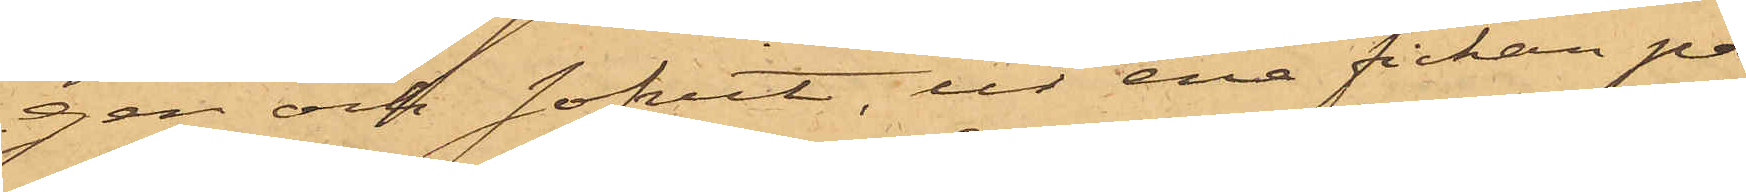gen och sofvit, ur ena fickan på
